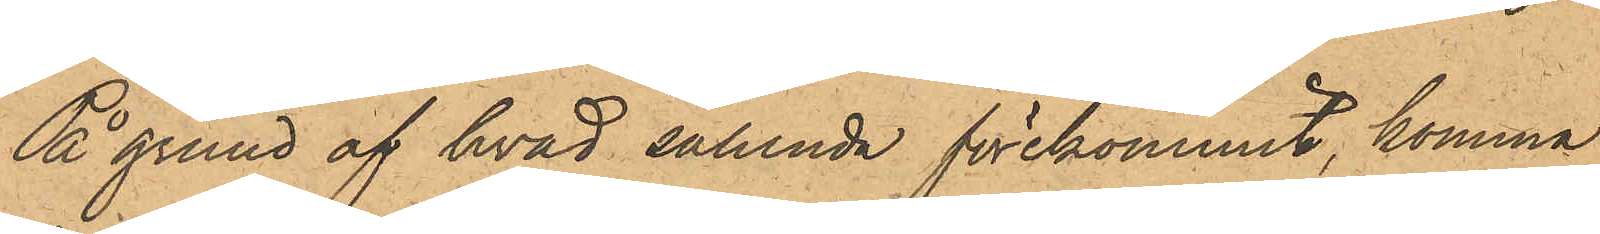På grund af hvad sålunda förekommit, komma
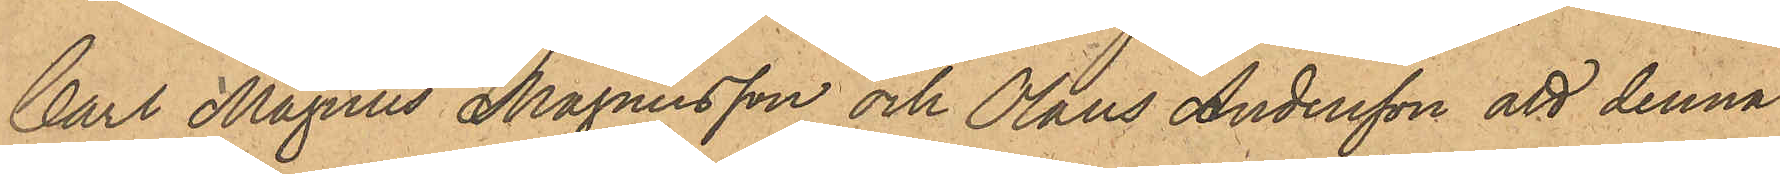Carl Magnus Magnusson och Olaus Andersson att denna
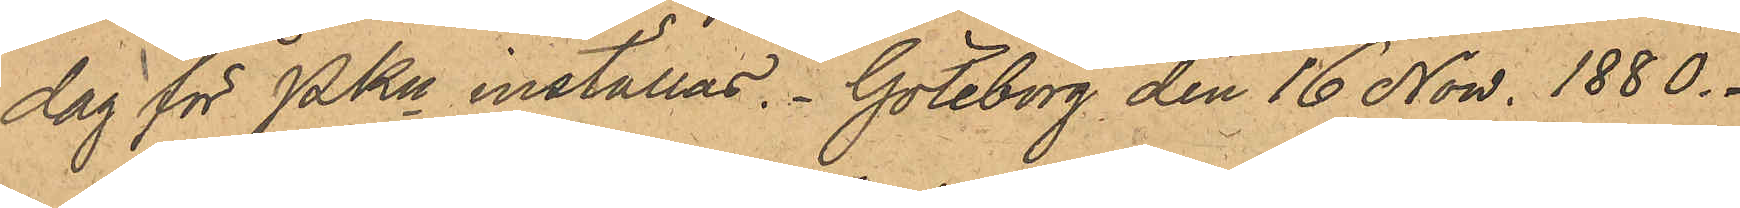dag för PKn inställas. Göteborg den 16 Now. 1880.
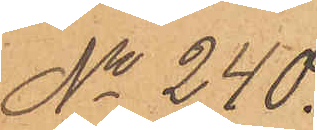No 240.
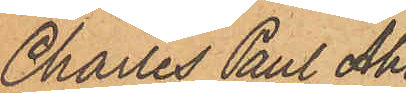Charles Paul Ahl¬
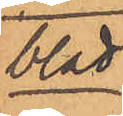blad.
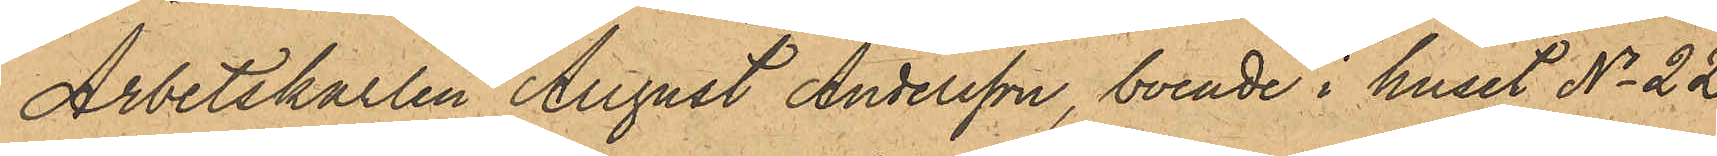Arbetskarlen August Andersson, boende i huset No 22
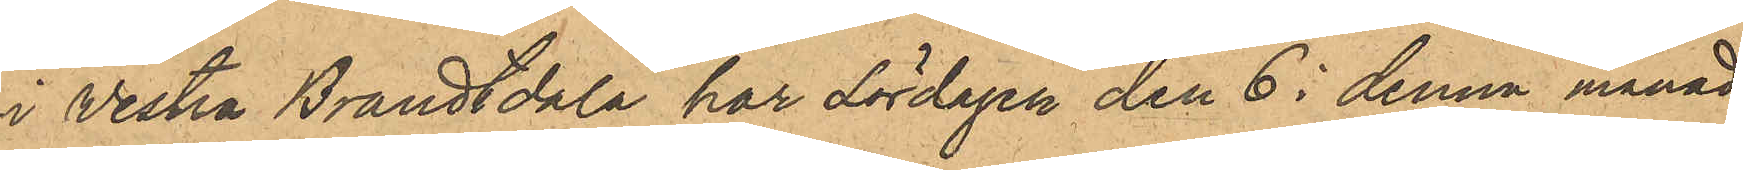i Vestra Brandtdala har Lördagen den 6 i denna månad
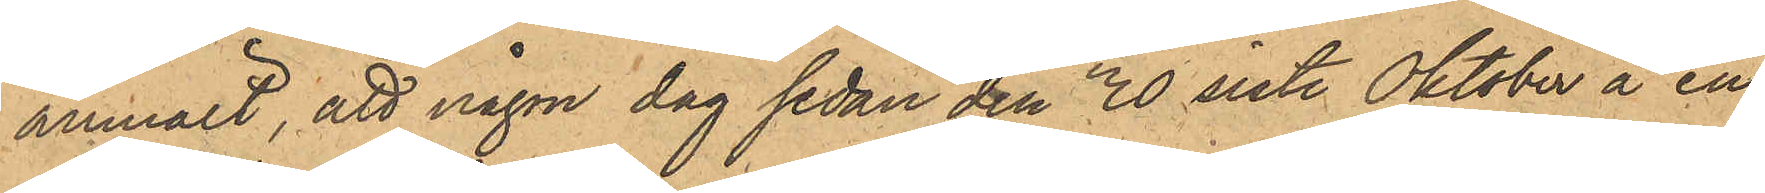anmält, att någon dag sedan den 30 sist. Oktober å en
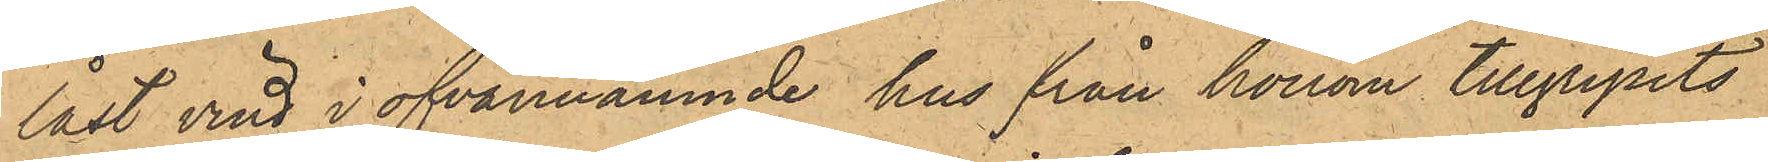låst vind i ofvannämnde hus från honom tillgripits
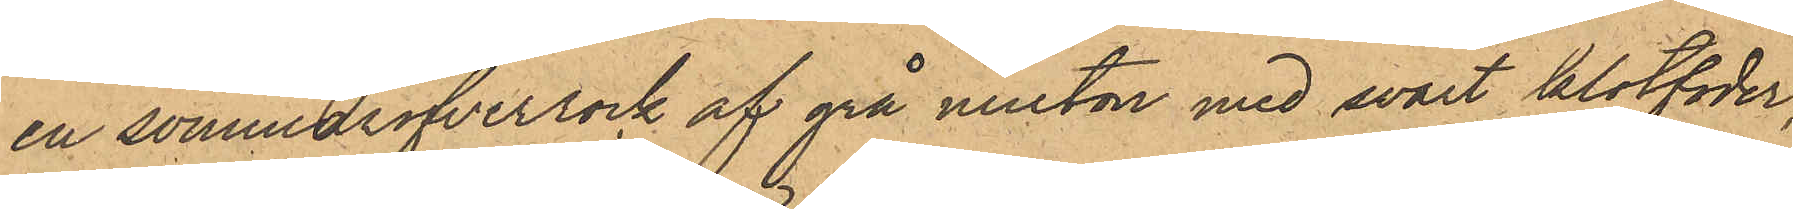en sommaröfverrock af grå ninton med svart klotfoder,
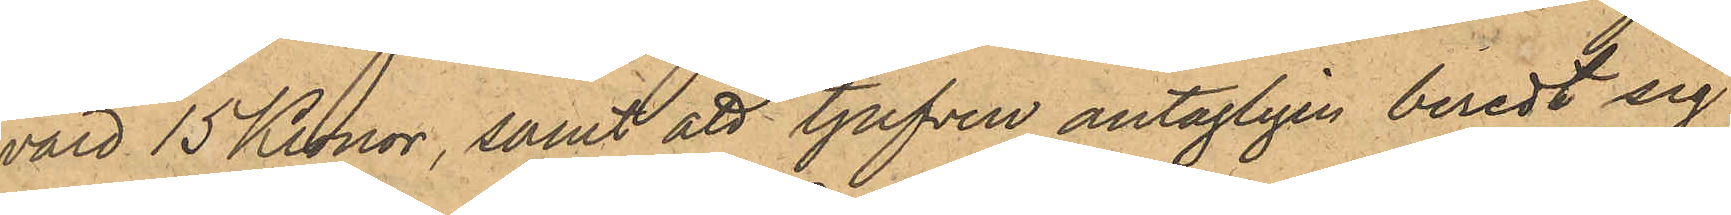värd 15 Kronor, samt att tjufven antagligen beredt sig
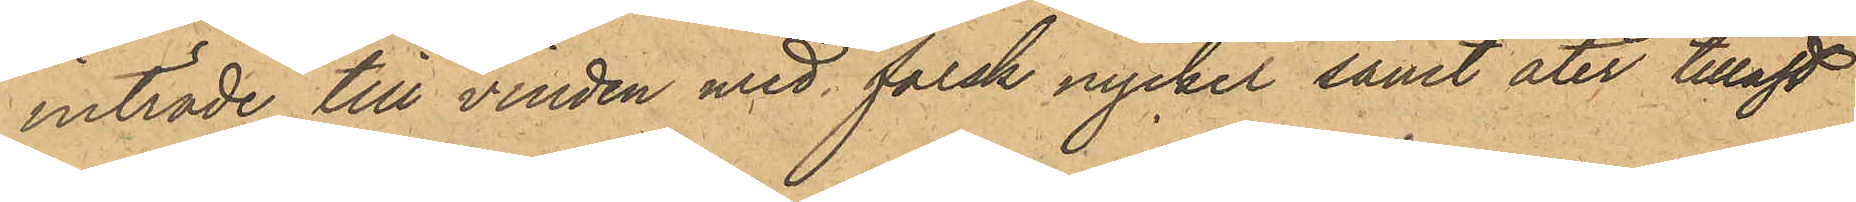inträde till vinden med falsk nyckel samt åter tillåst
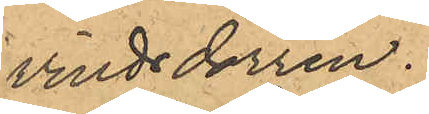vindsdörren.
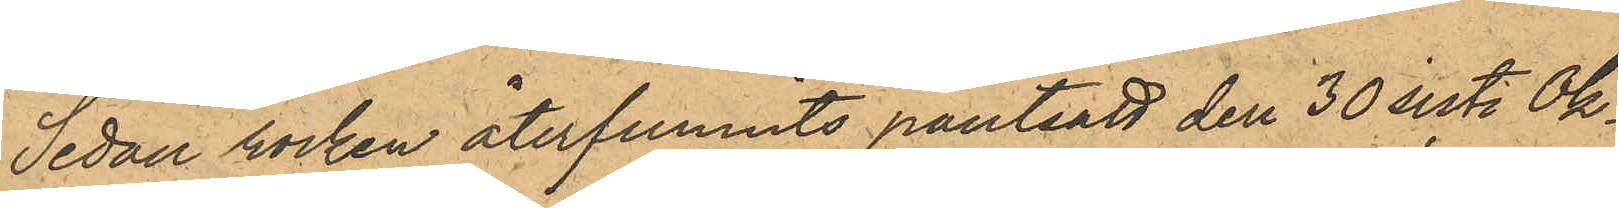Sedan rocken återfunnits pantsatt den 30 sist. Ok¬
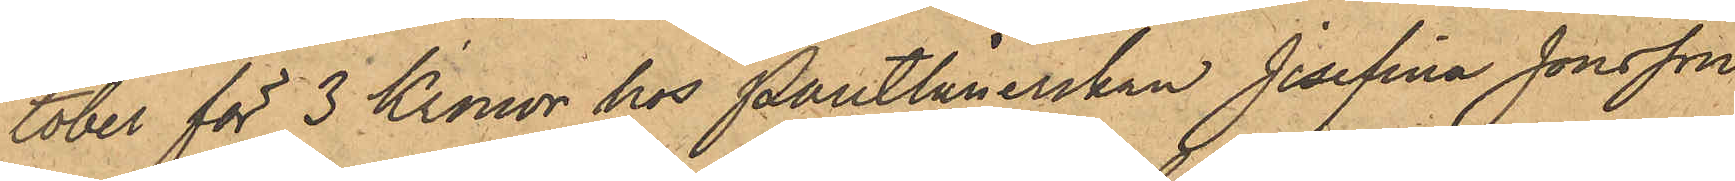tober för 3 Kronor hos Pantlånerskan Josefina Jonsson
